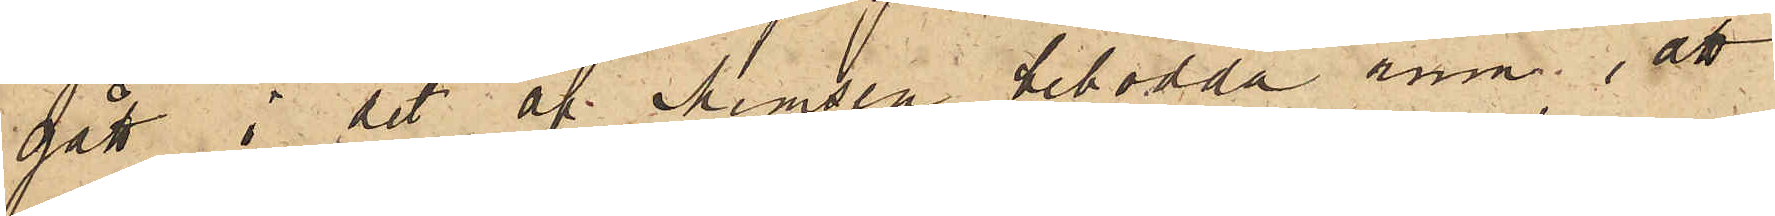gått i det af Memsen bebodda rum; att
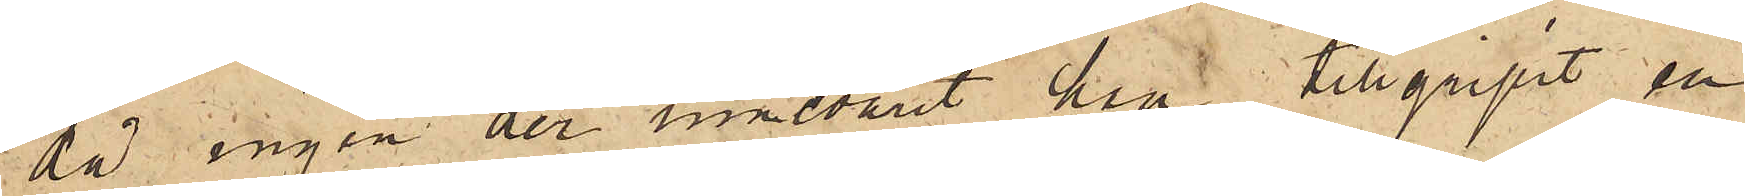då ingen der innevarit han tillgripit en
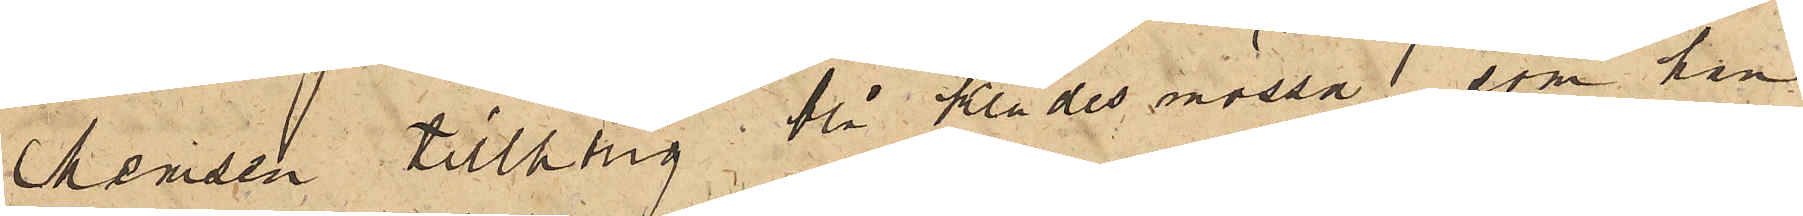Memsen tillhörig blå klädesmössa, som han
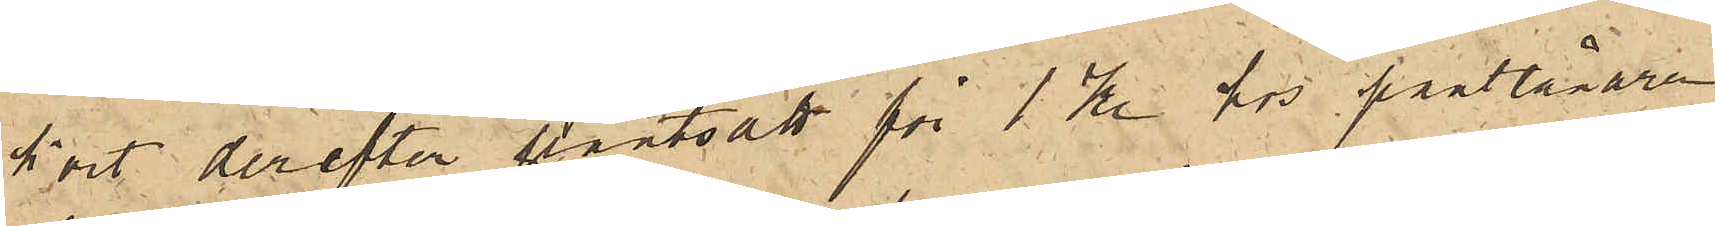kort derefter pantsatt för 1 kr hos pantlånaren
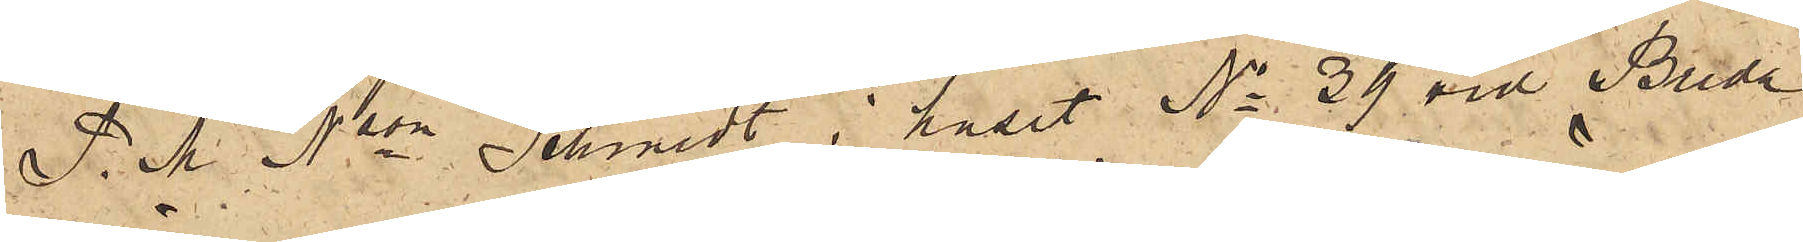P.M. Nson Schmidt i huset No 39 vid Breda
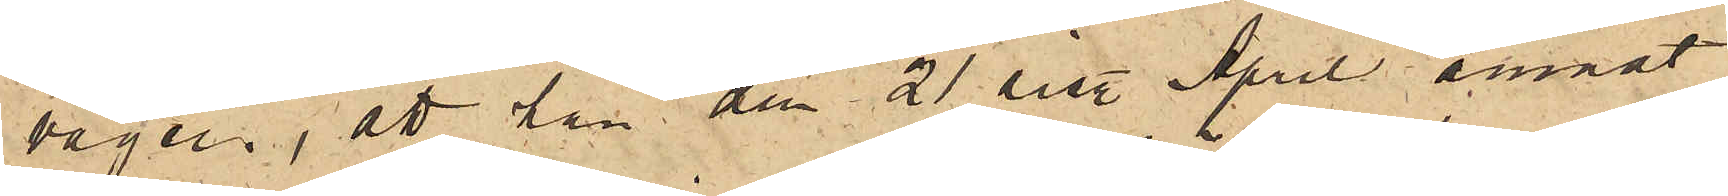vägen; att han den 21 sist. April ämnat
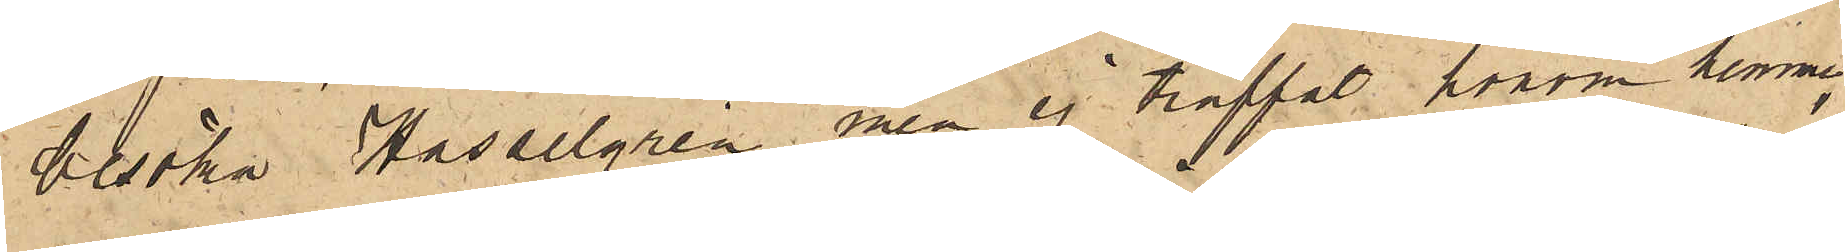besöka Hasselgren men ej träffat honom hemma,
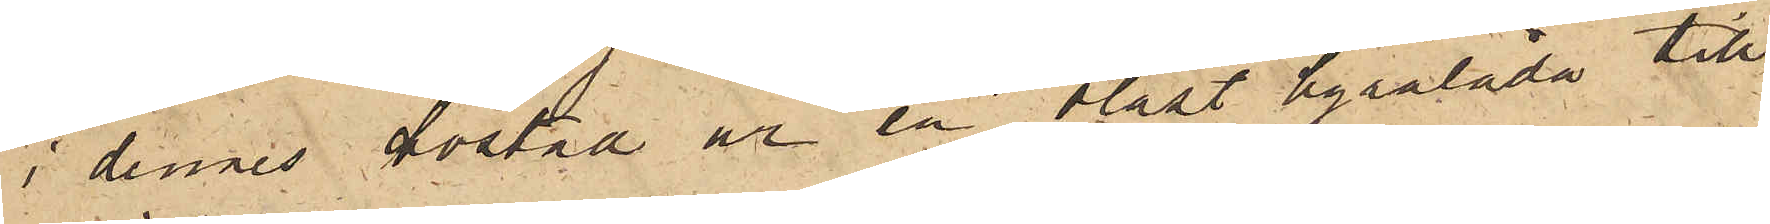i dennes bostad ur en olåst byrålåda till¬
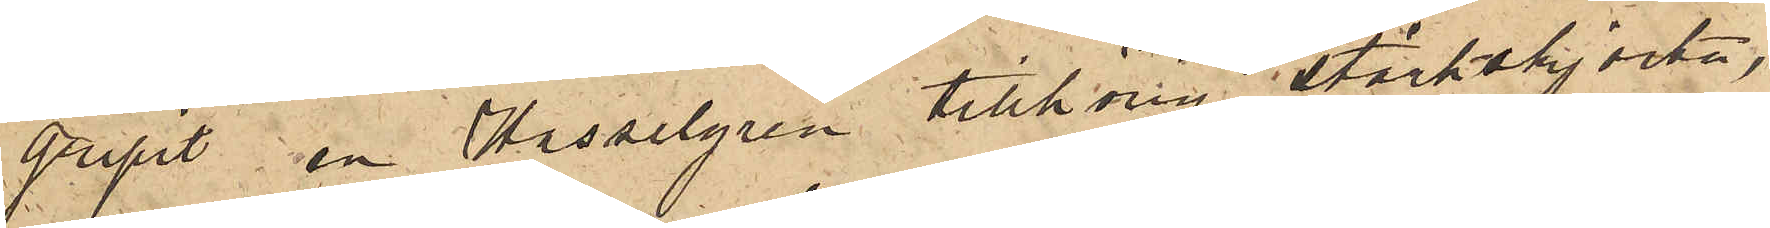gripit en Hasselgren tillhörig stärkskjorta,
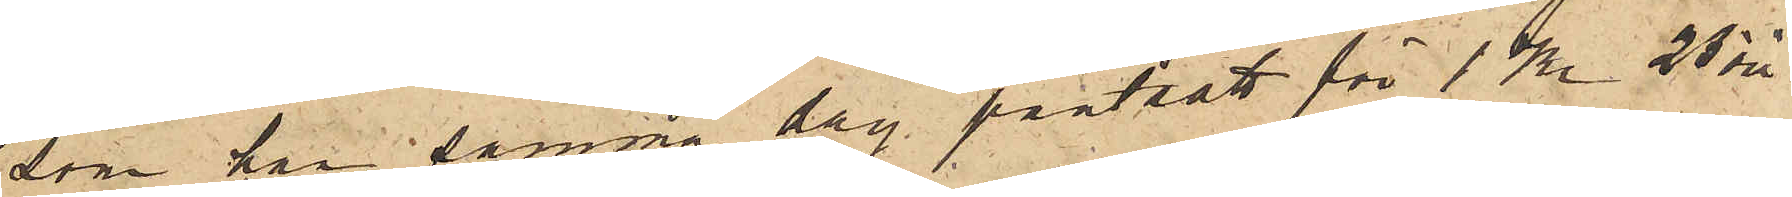som han samma dag pantsatt för 1 Kr 25 öre
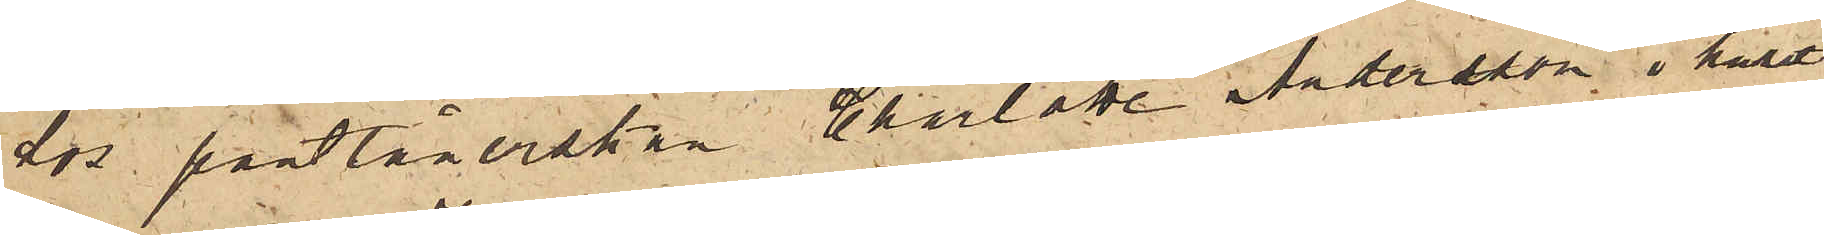hos pantlånerskan Charlotta Andersson i huset
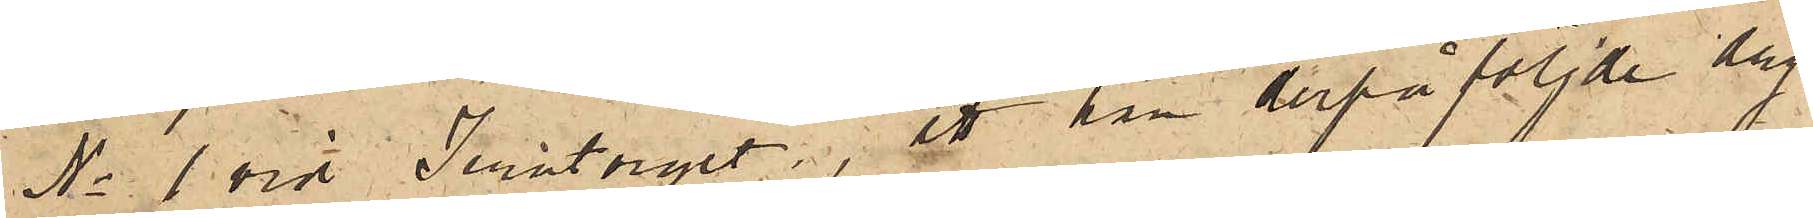No 1 vid Jerntorget; att han derpåföljde dag
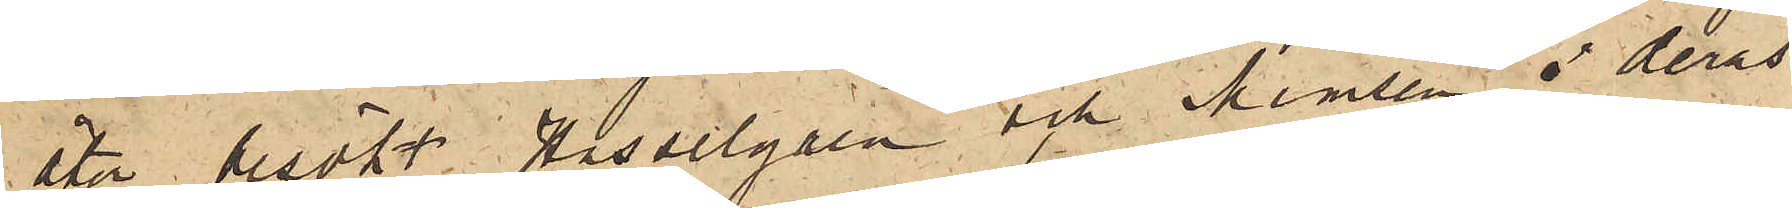åter besökt Hasselgren och Memsen i deras
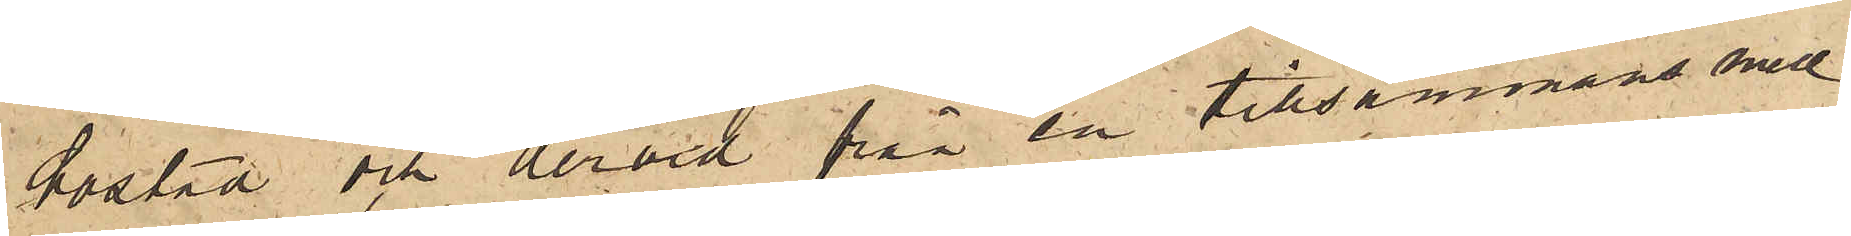bostad och dervid från en tillsammans med
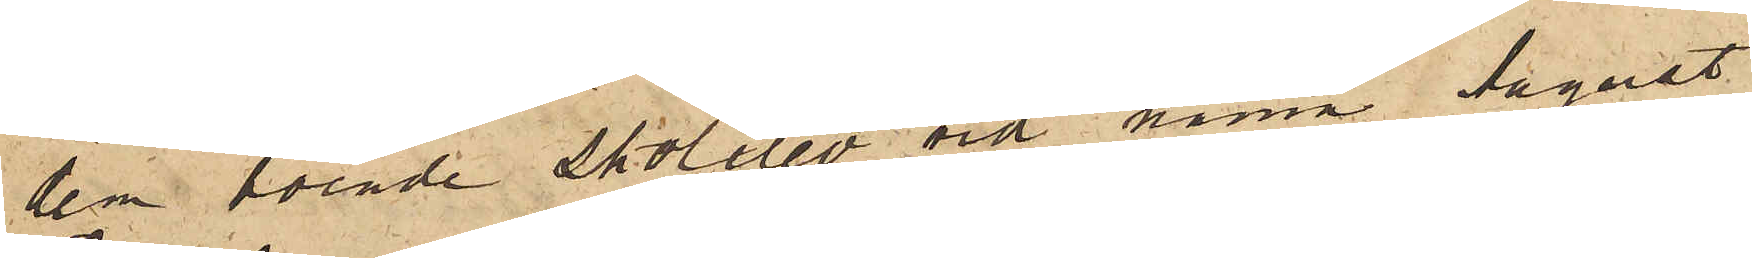dem boende skolelev vid namn August
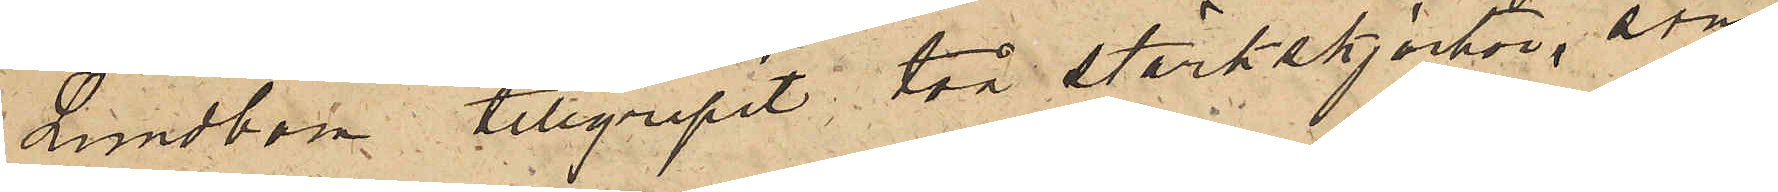Lundbom tillgripit två stärkskjortor, som
